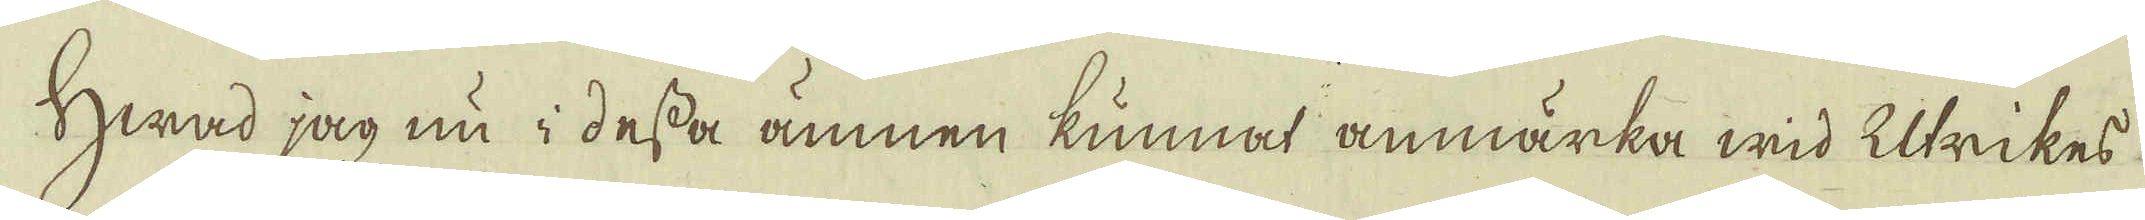Hwad jag nu i dessa ämnen kunnat anmärka wid Utrikes
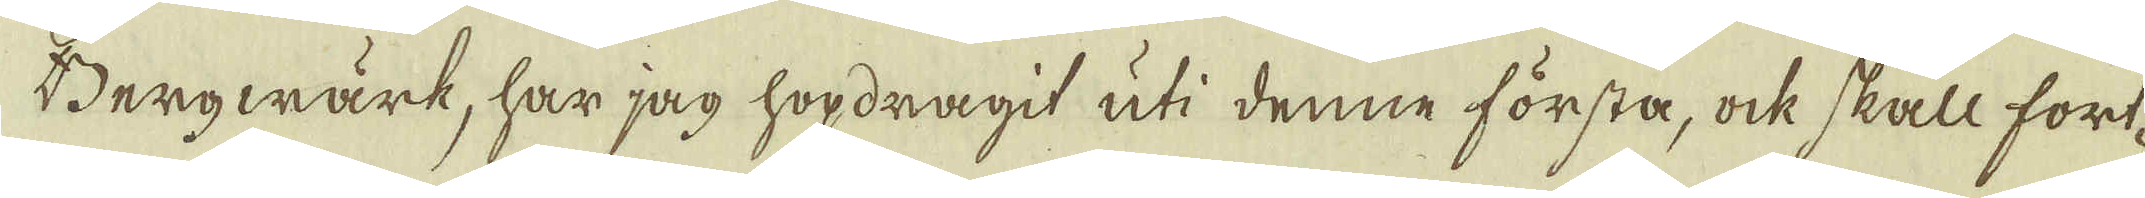Bergwärk, har jag hopdragit uti denne första, ock skall fört-
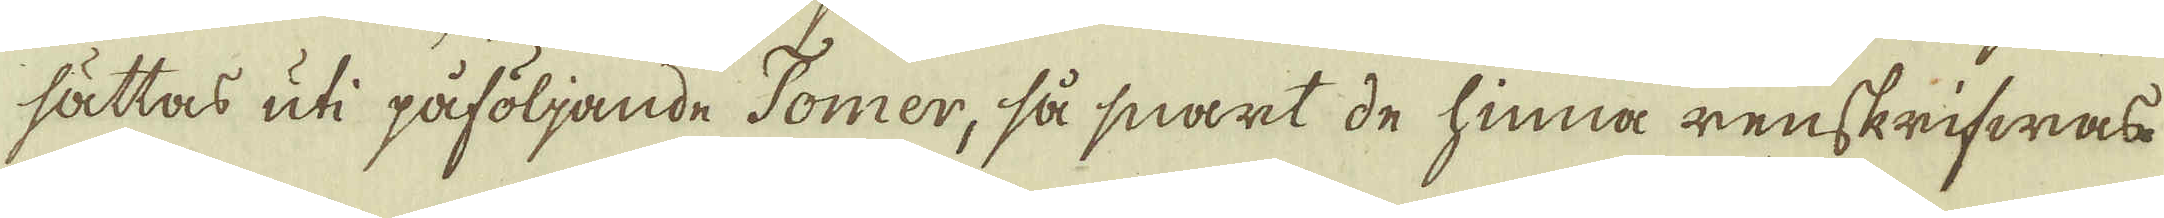sättas uti påföljande Tomer, så snart de hinna renskrifwas.
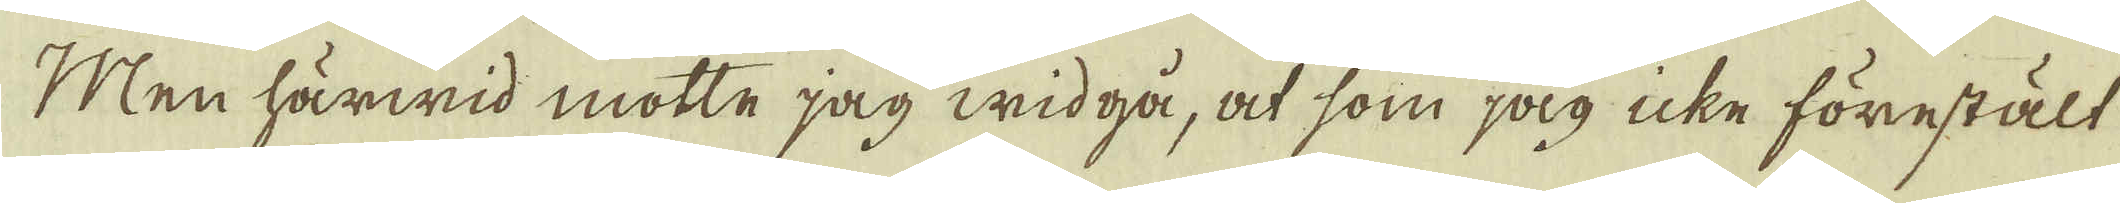Men härwid mötte jag widgå, at som jag icke förestält
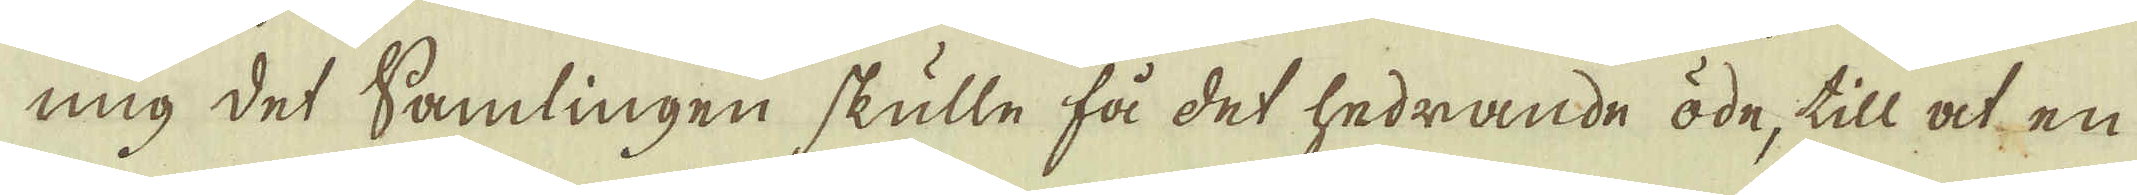mig det Samlingen skulle få det hedrande öde, till at en
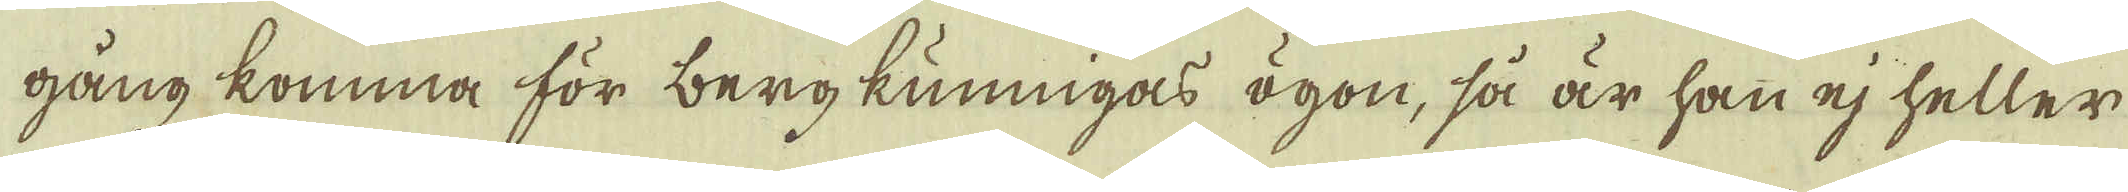gång komma för bergkunnigas ögon, så är han ej heller
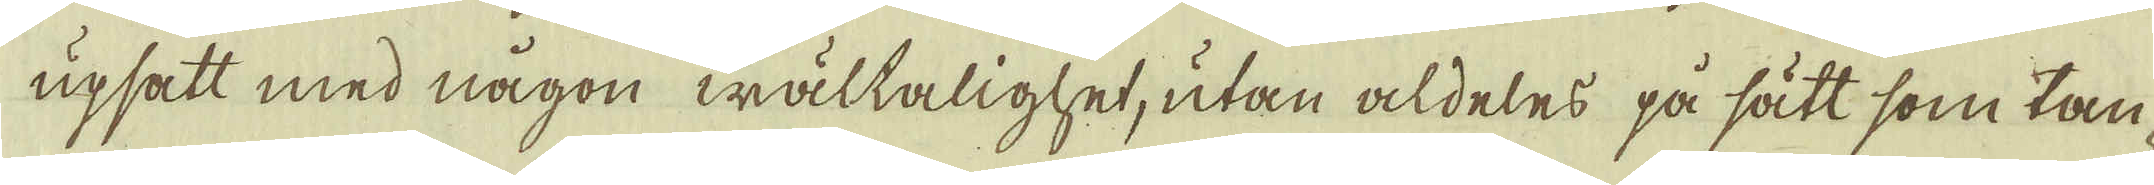upsatt med någon wältalighet, utan aldeles på sätt som tan-
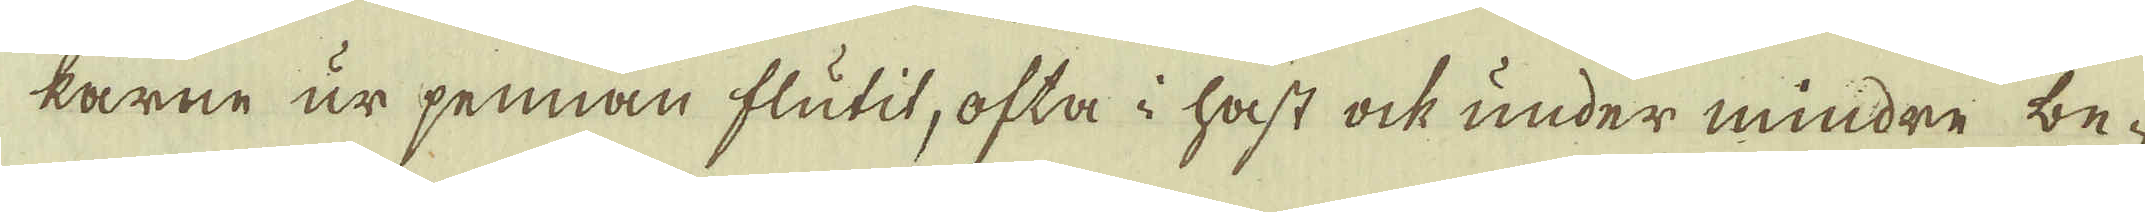karne ur pennan flutit, ofta i hast ock under mindre be-
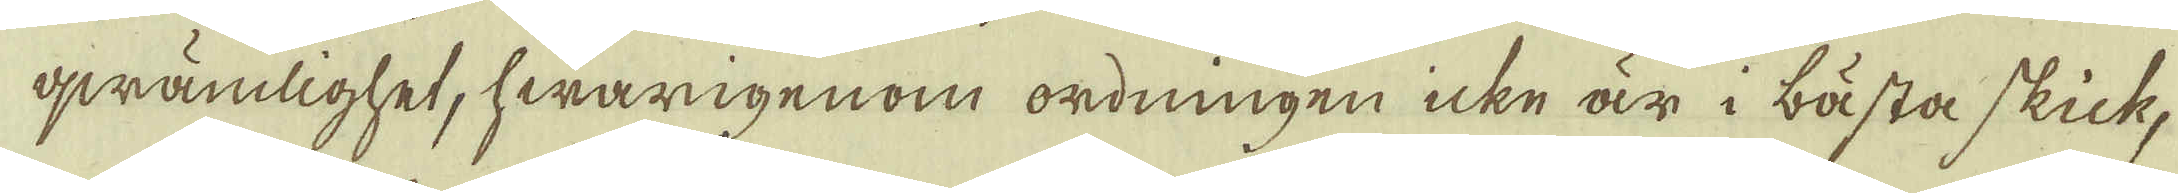qwämlighet, hwarigenom ordningen icke är i bästa skick,
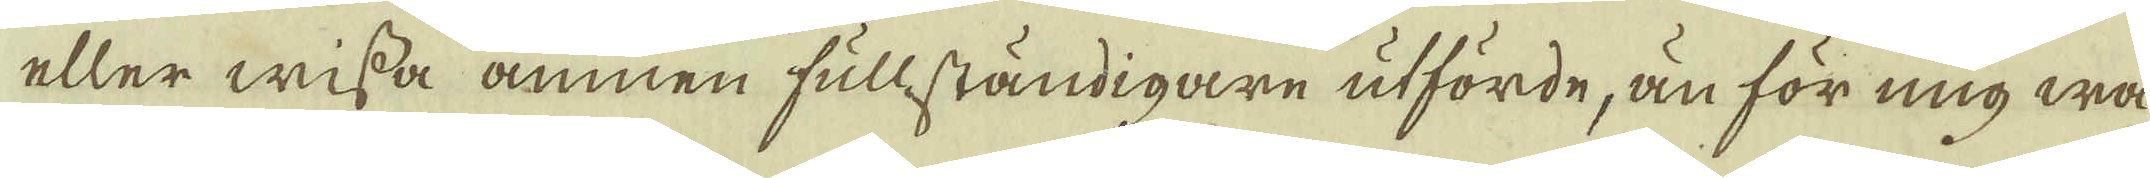eller wissa ämnen fullständigare utförde, än för mig wa-
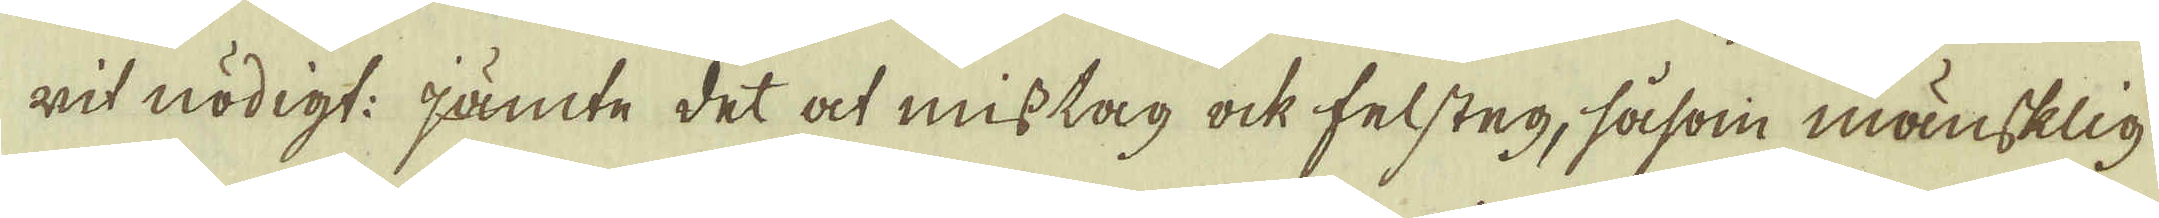rit nödigt: jämte det at misstag ock felsteg, såsom mänsklig-
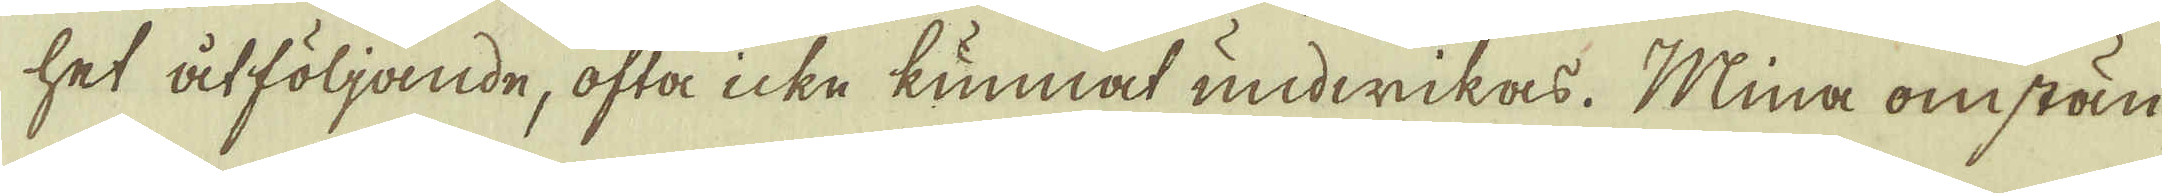het åtföljande, ofta icke kunnat undwikas. Mina omstän-
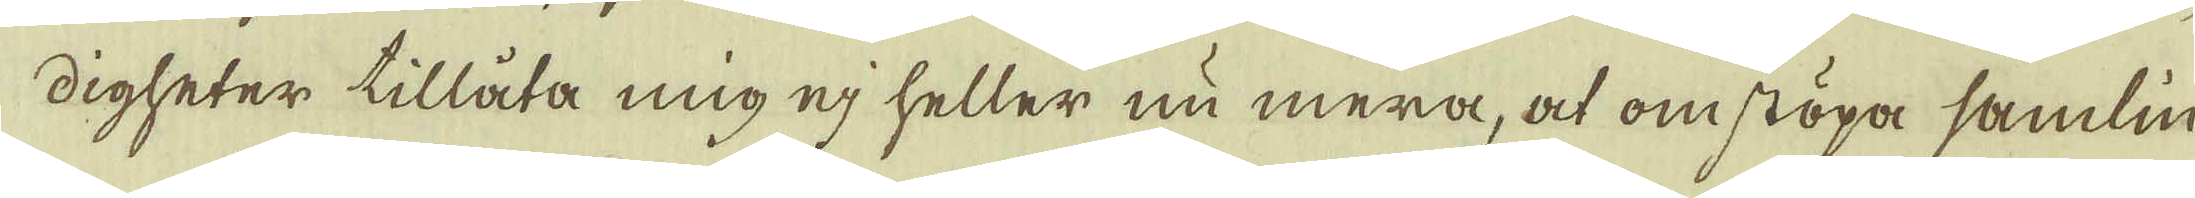digheter tillåta mig ej heller nu mera, at omstöpa samlin-
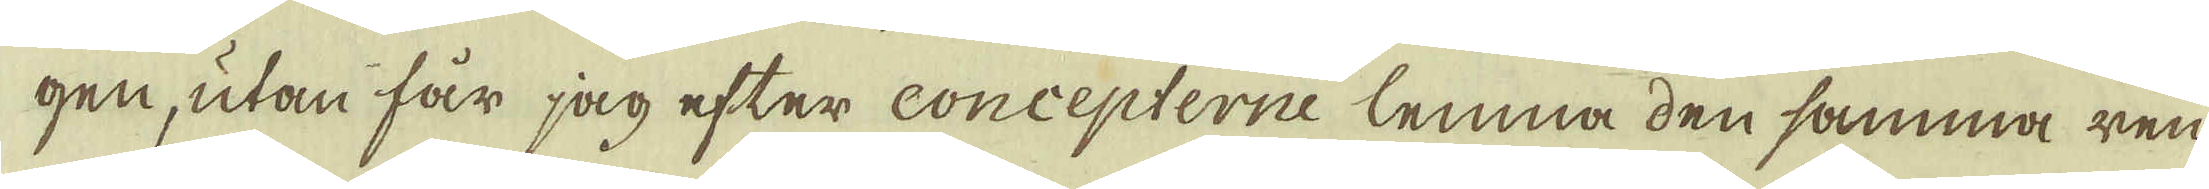gen, utan får jag efter concepterne lemna den samma ren-
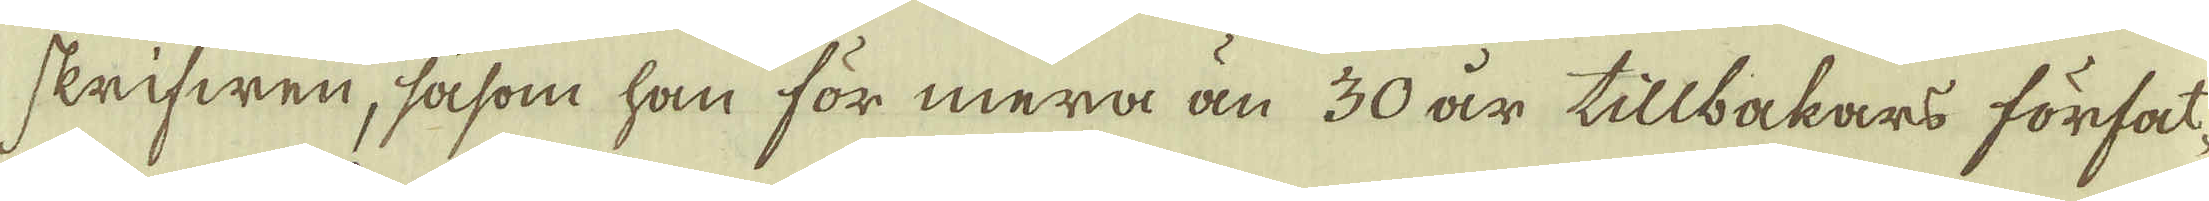skrifwen, såsom han för mera än 30 år tillbakars förfat-
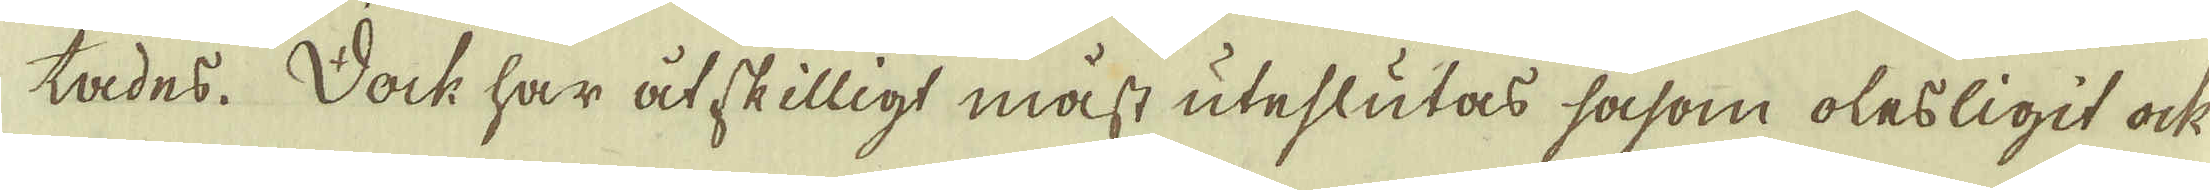tades. Dock har åtskilligt måst uteslutas såsom olesligit ock
